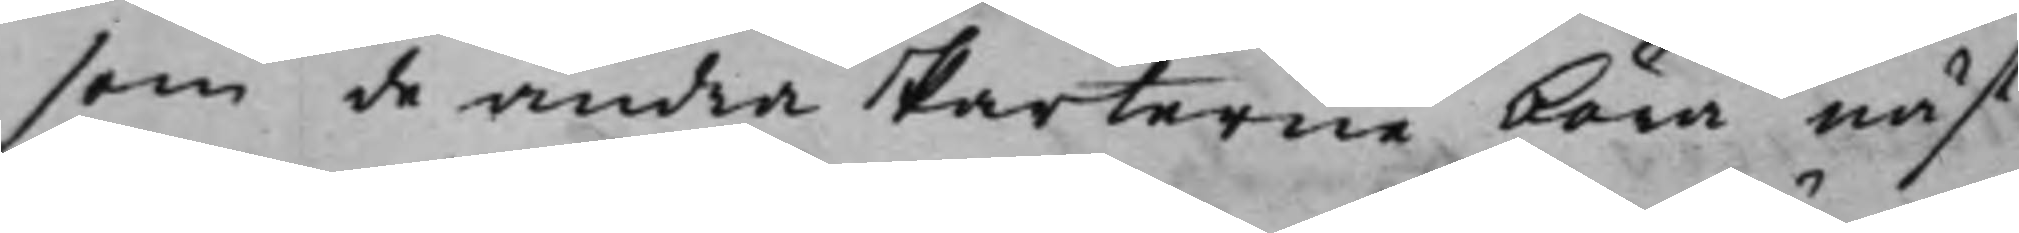som de andra Parterne böra näst¬
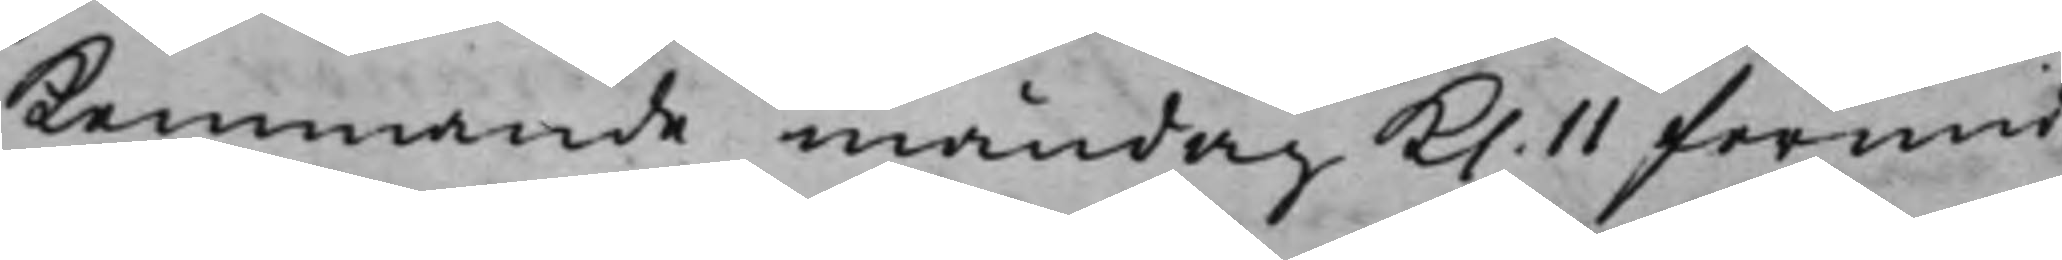kommande måndag Kl. 11 förmid¬
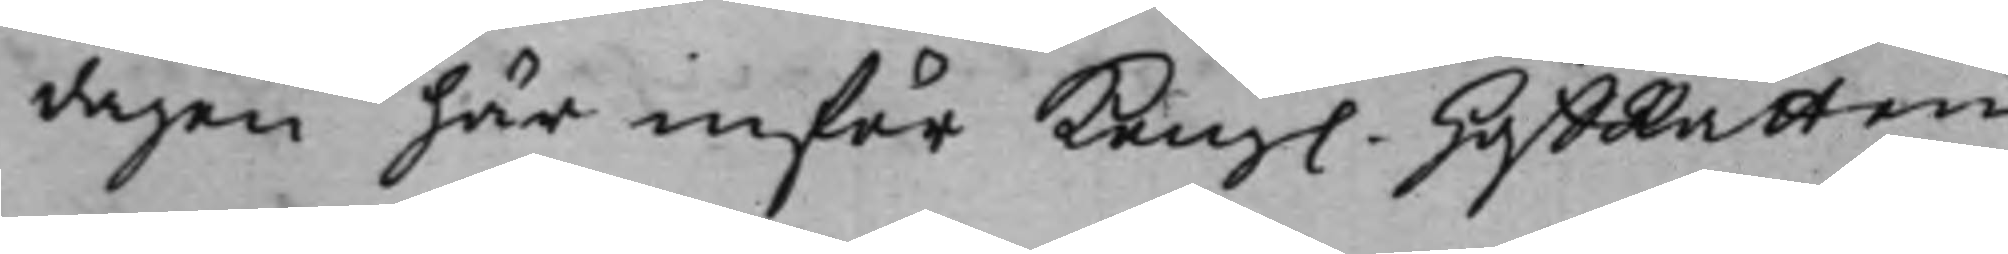dagen här inför Kong. HoffRätten
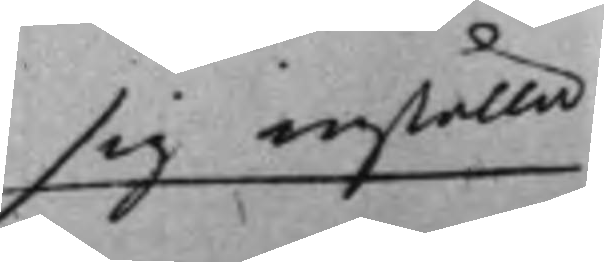sig inställa
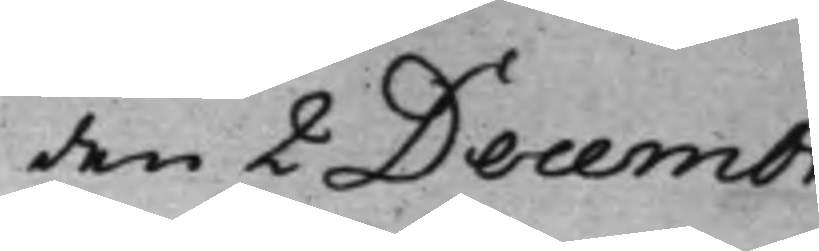den 2 Decembr.
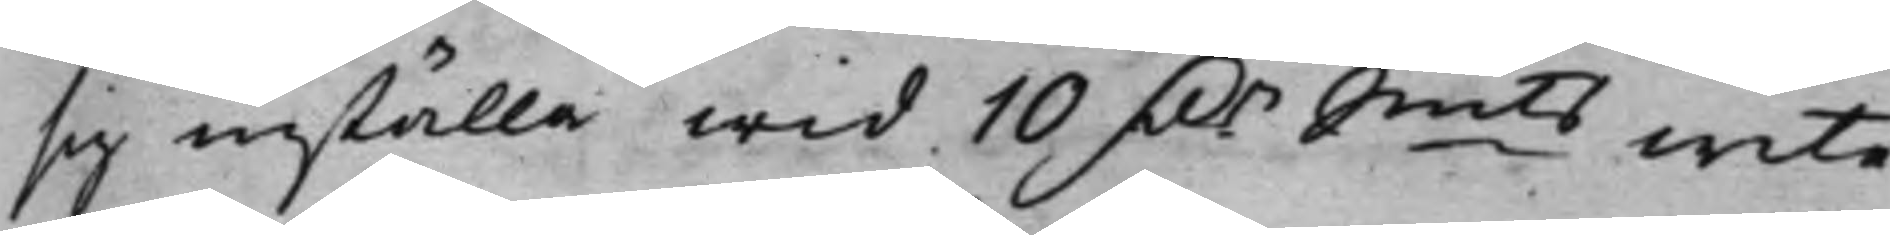sig inställa wid 10 D.r Smts wite.
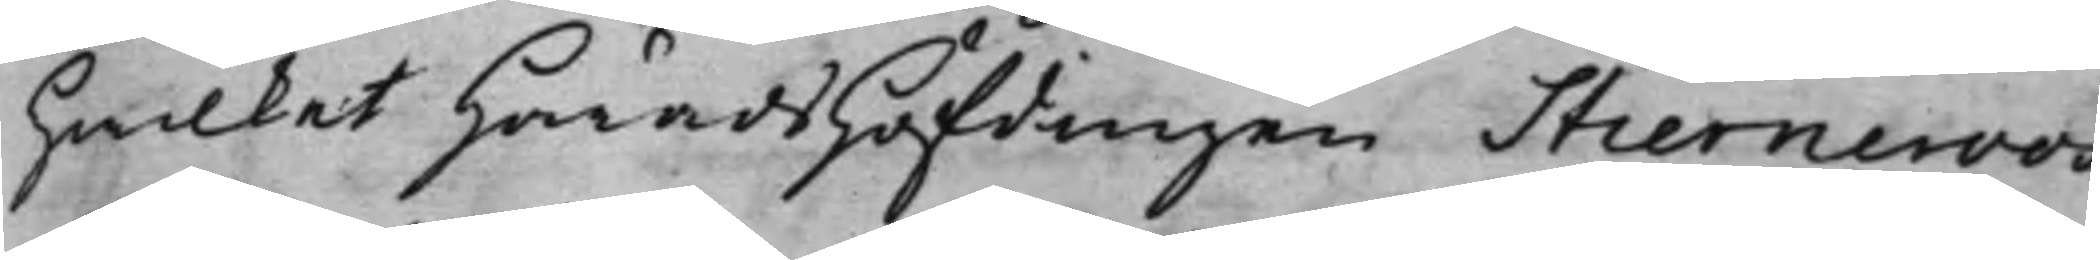hwilket HäradsHöfdingen Stierneroos,
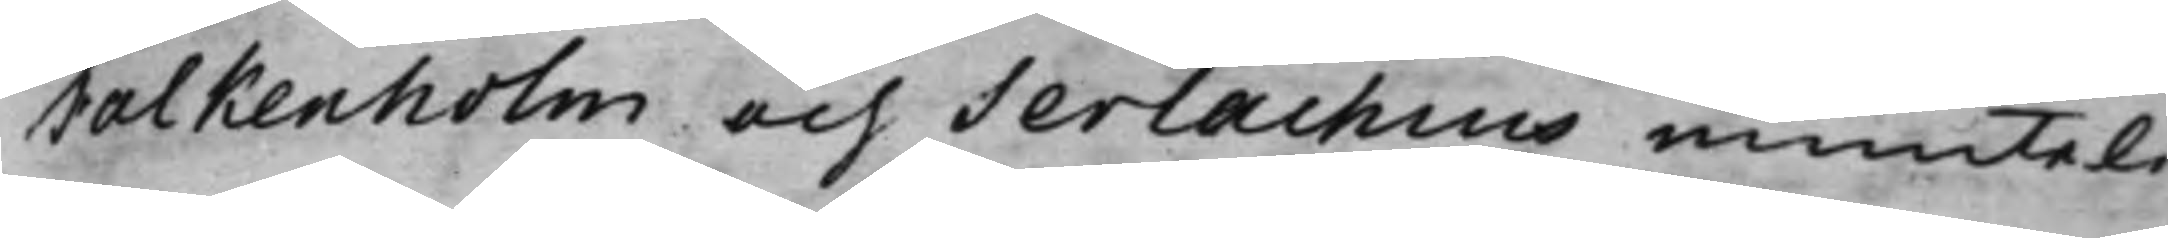Falkenholm och Serlachius munteli¬
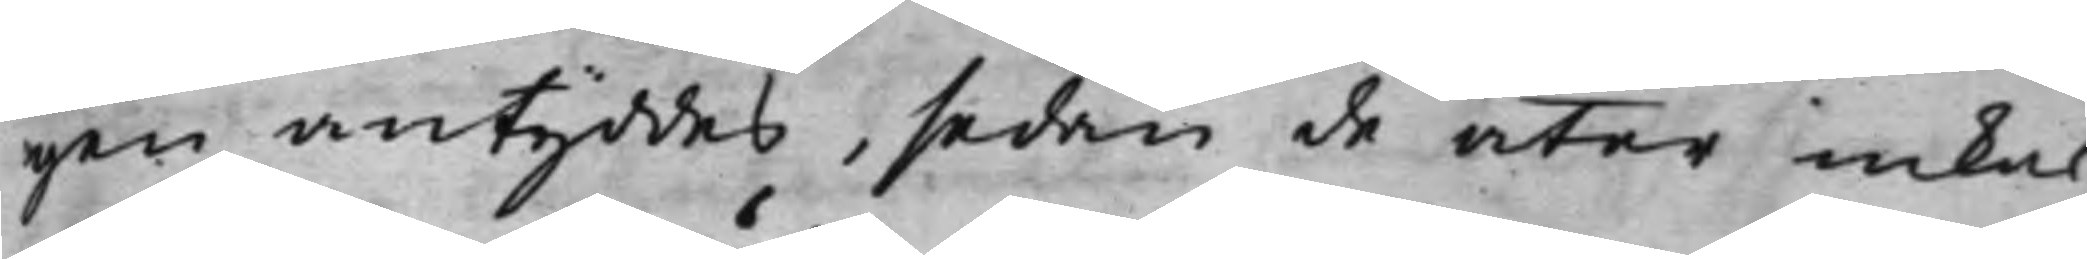gen antyddes, sedan de åter inkal¬
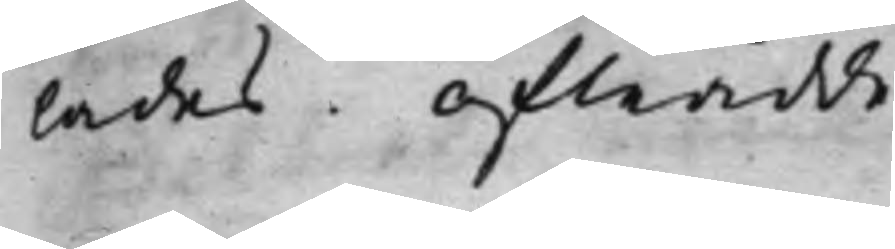lades. Afträdde.
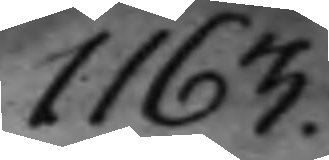1163.
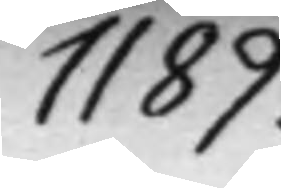1189.
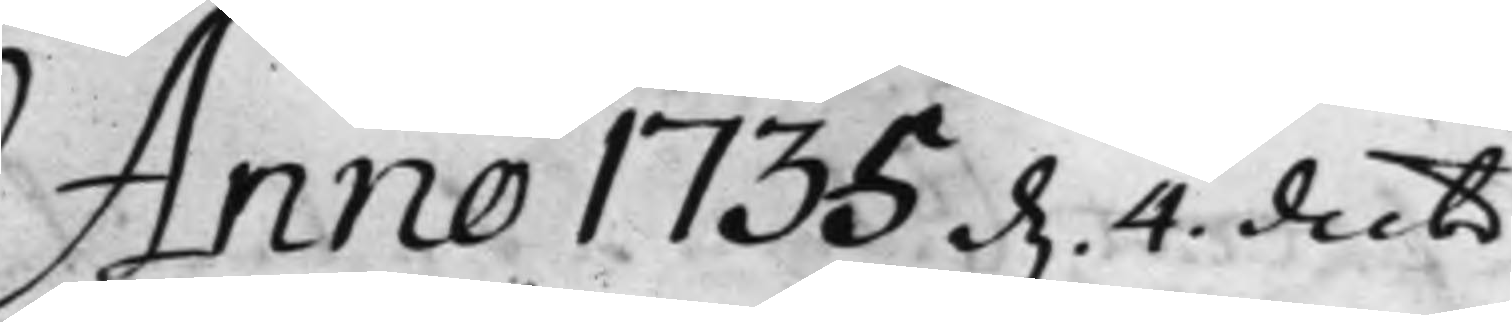Anno 1735 d. 4. decbr
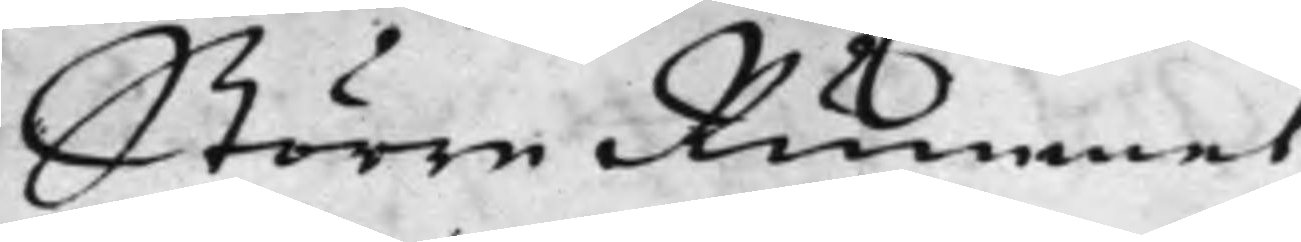Större Rummet.
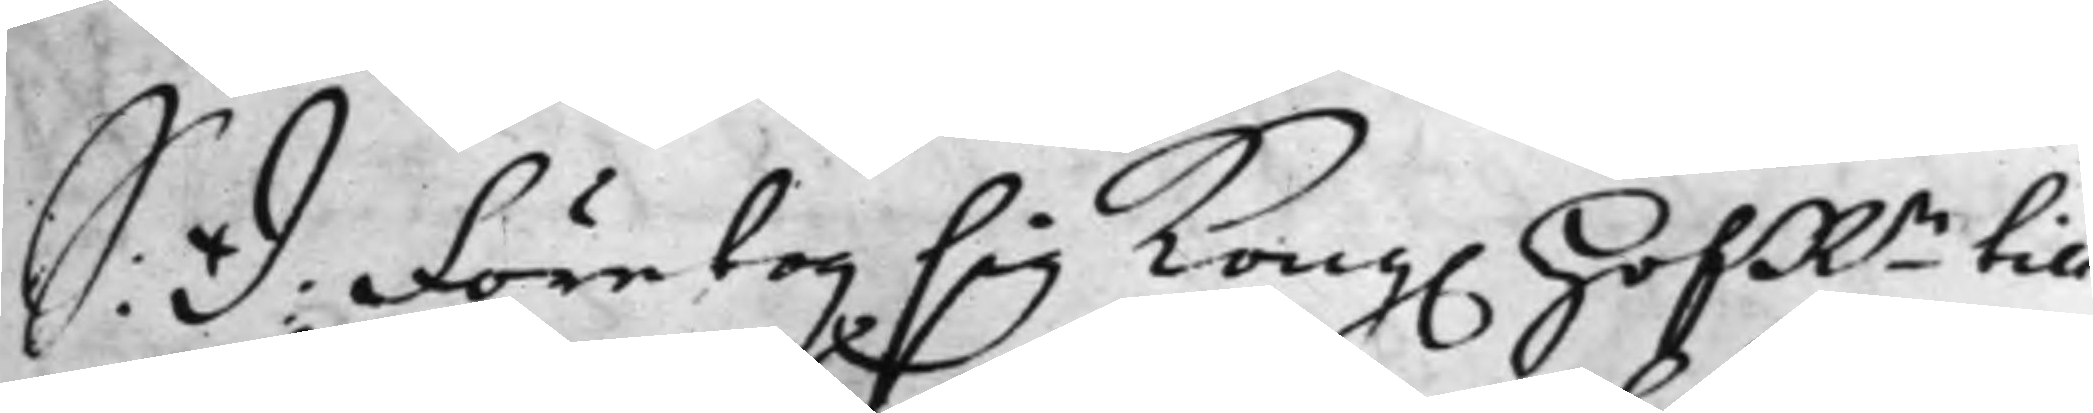S: D: Företog sig Kong. HofRn till
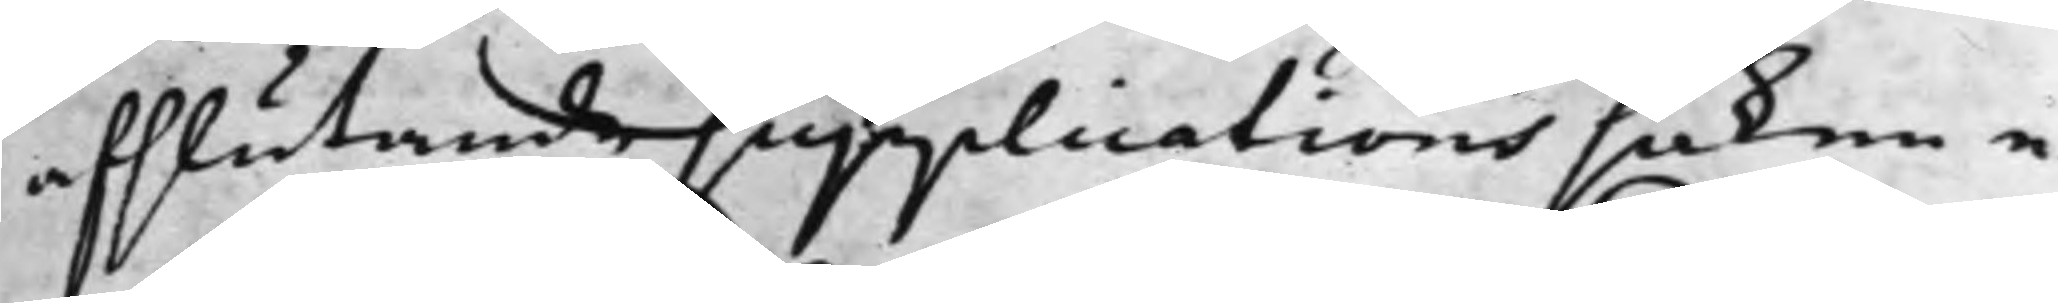afslutande supplications saken e¬
